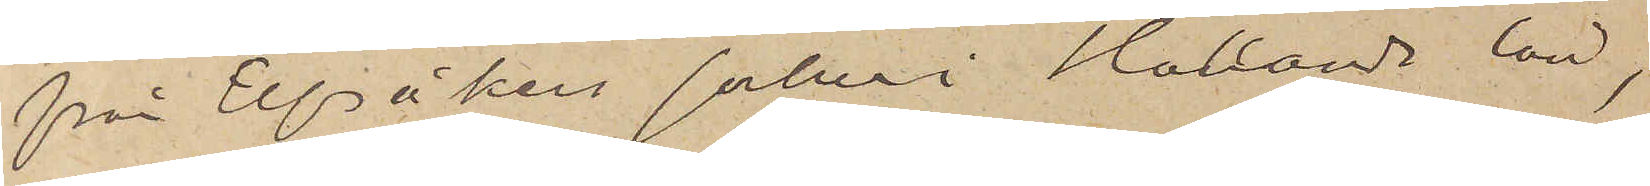från Elfsåkers socken i Hallands län,
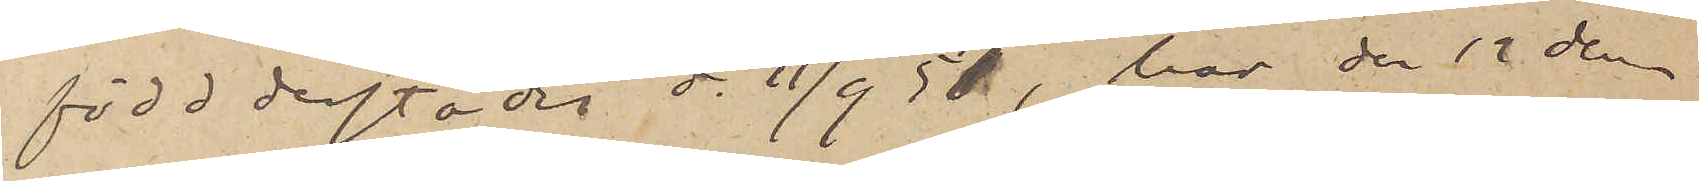född derstädes d. 11/9 57, har den 12 den¬
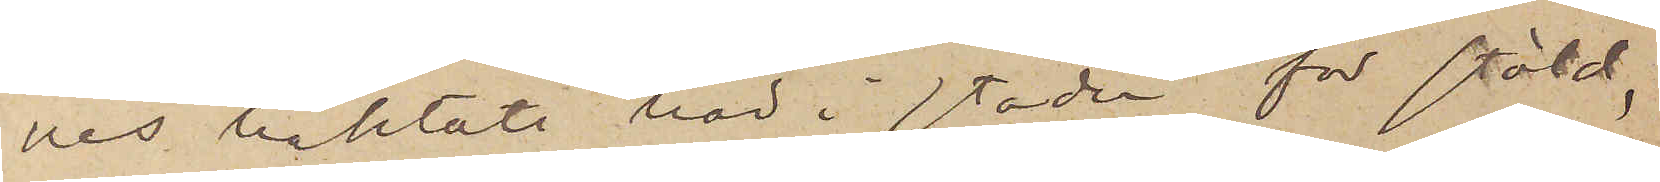nes häktats här i staden för stöld,
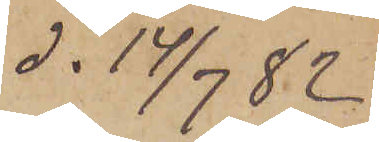d. 14/7  82
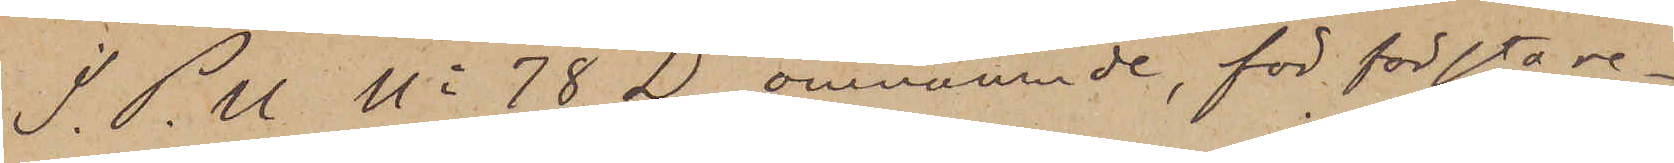I. P. U. No 78 D omnämnde, för första re¬
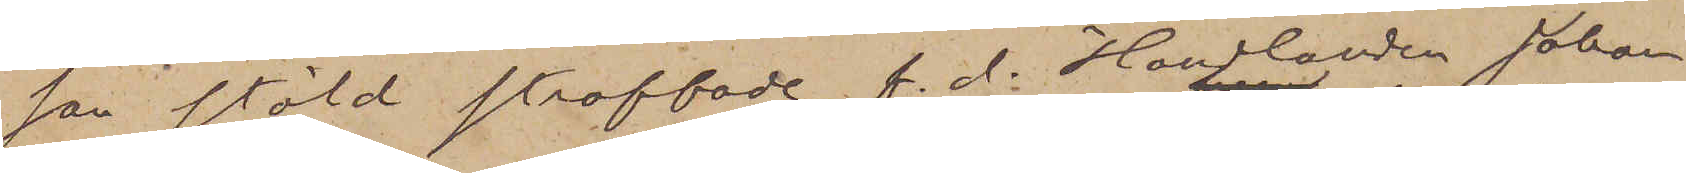san stöld straffade f. d. Handlanden Johan
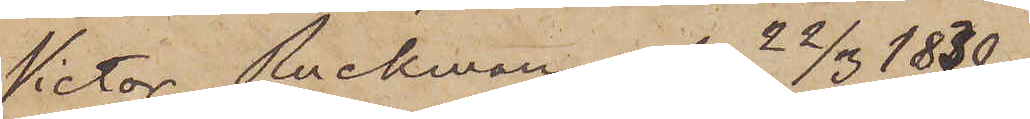Victor Ruckman, f. 22/3 1830,
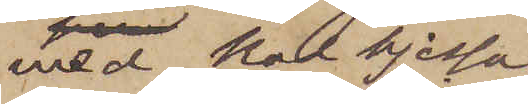med kal hjessa,
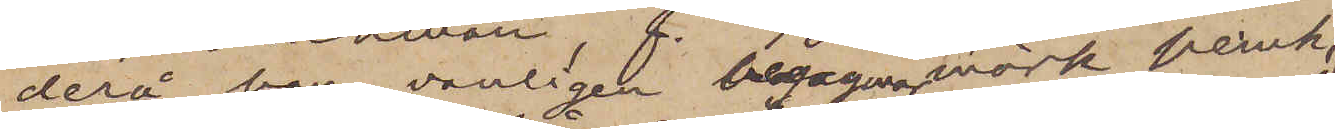derå han vanligen begagnar mörk peruk,
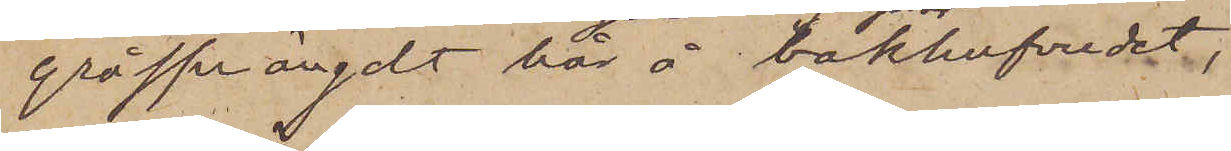gråsprängdt hår å bakhufvudet,
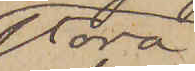stora
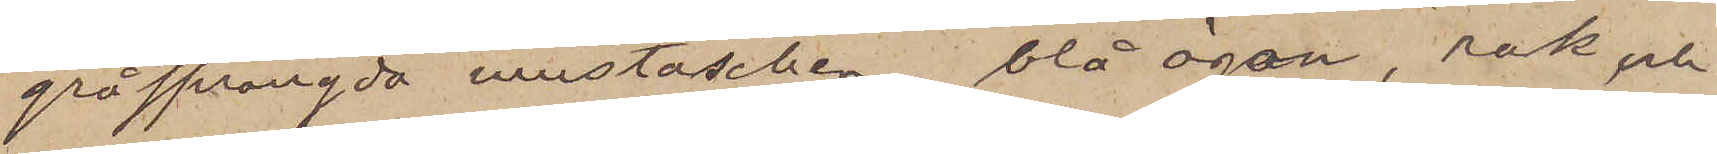gråsprängda mustascher, blå ögon, rak och
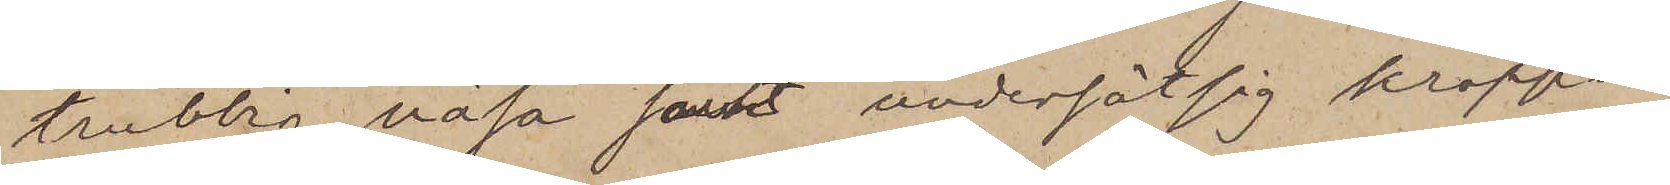trubbig näsa samt undersätsig kropps¬
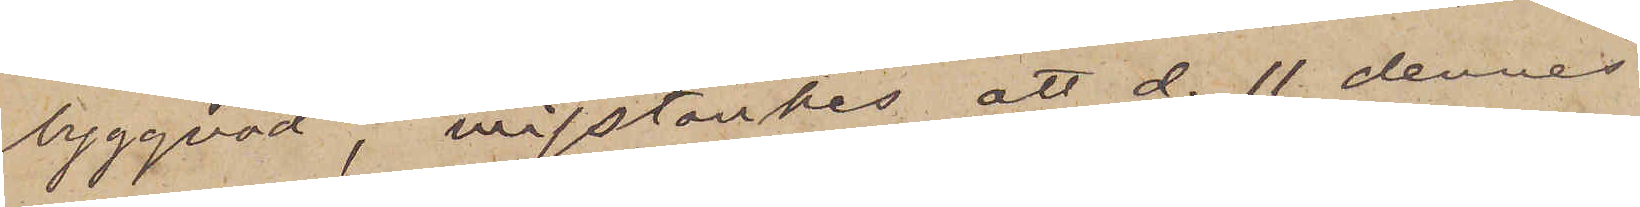byggnad, misstänkes att d. 11 dennes
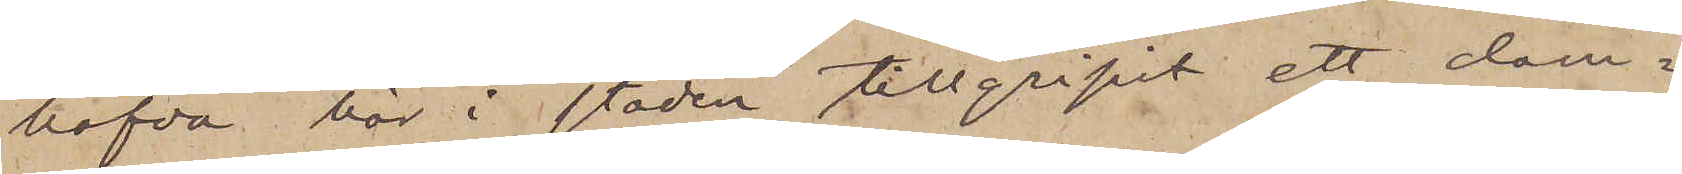hafva här i staden tillgripit ett dam¬
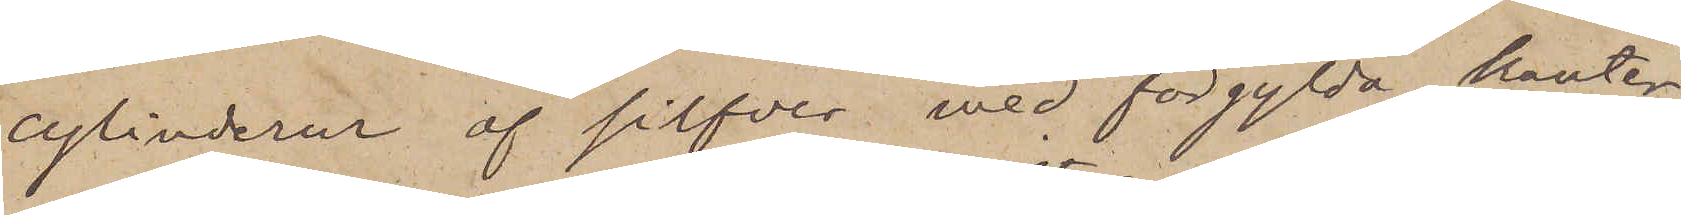cylinderur af silfver med förgylda kanter,
